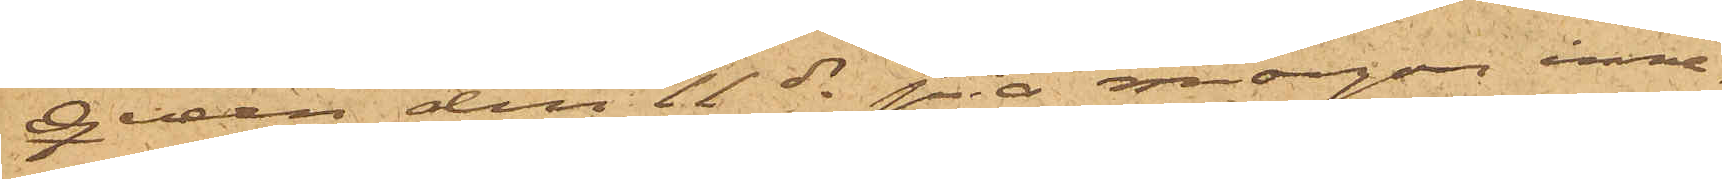Queen den 11 ds på morgonen inne¬
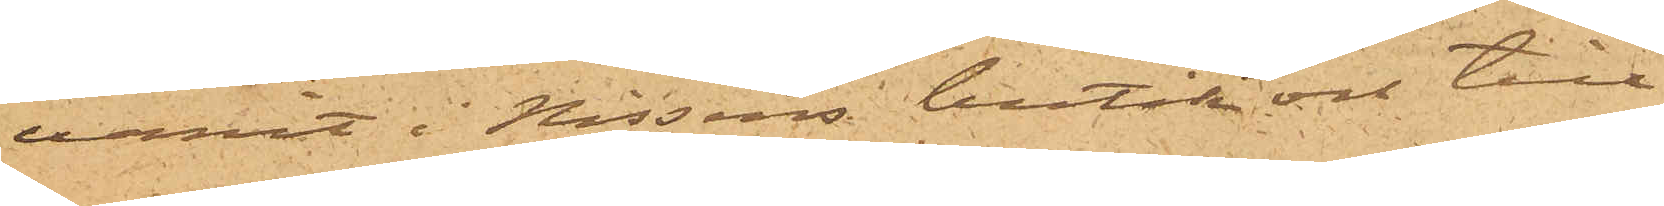varit i Nissens butik och till
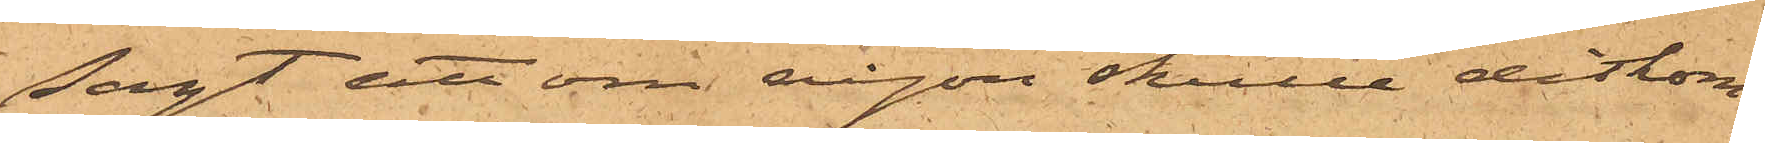sagt att om någon skulle ditkom¬
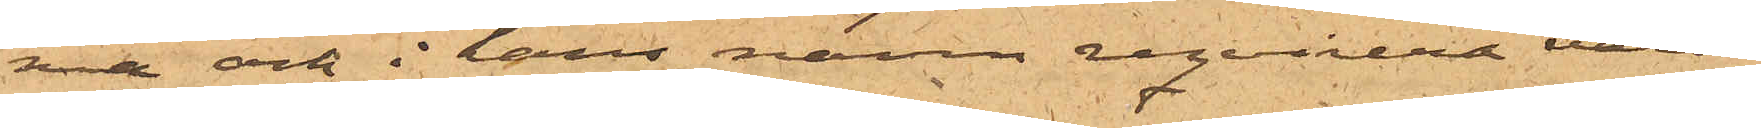ma och i hans namn reqvirera varor,
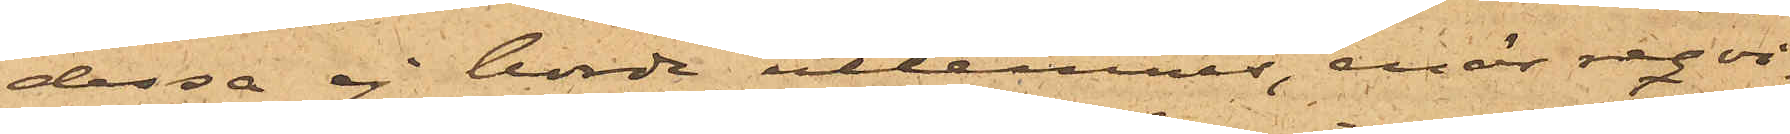dessa ej borde utlemnas, enär reqvi¬
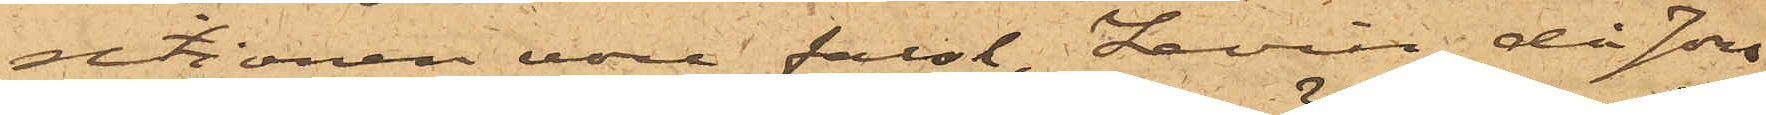sitionen vore falsk, Levin, då Jon¬
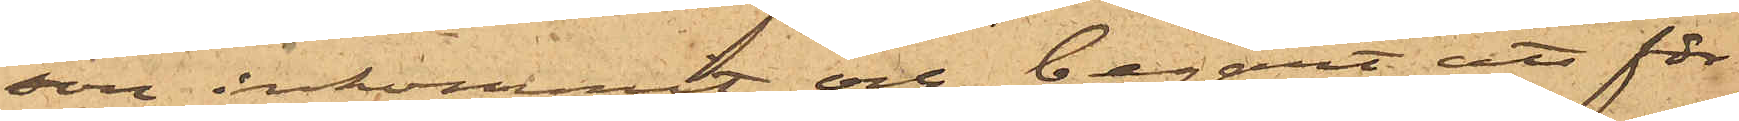son inkommit och begärt att för
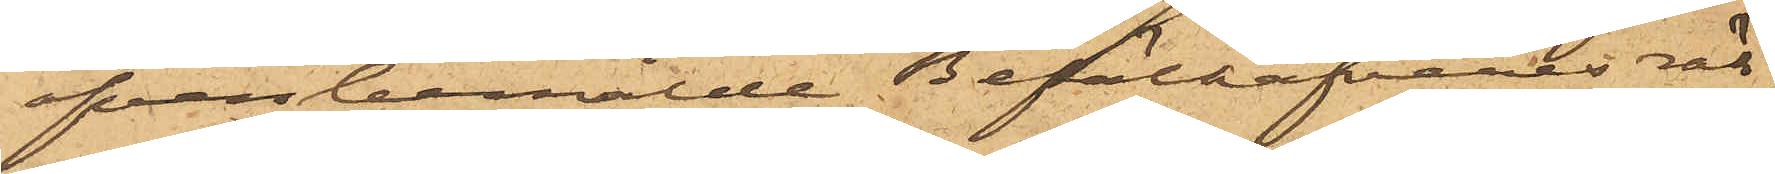ofvanbemälde Befälhafvares rä¬
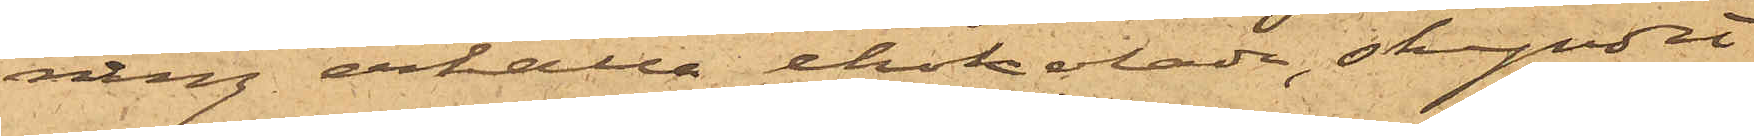ning erhålla chokolade, skyndat
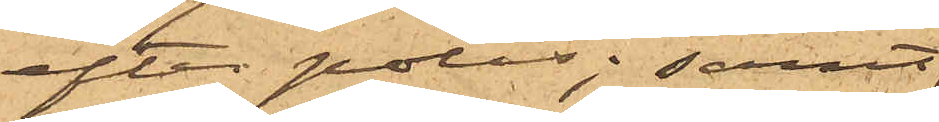efter polis; samt
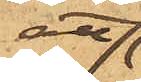att
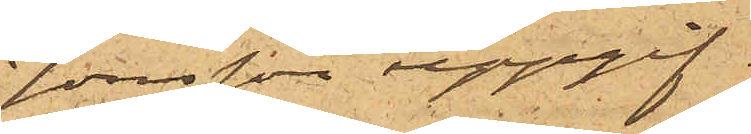Jonsson uppgif¬
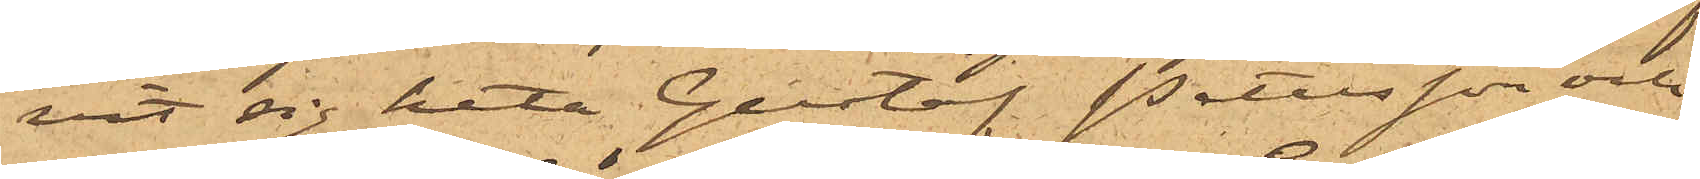vit sig heta Gustaf Petersson och
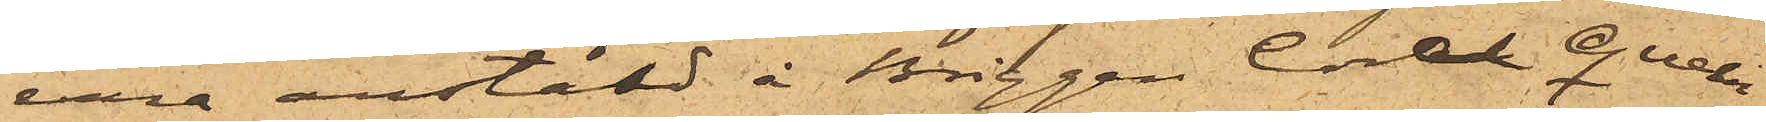vara anstäld å Briggen Coral Queen.
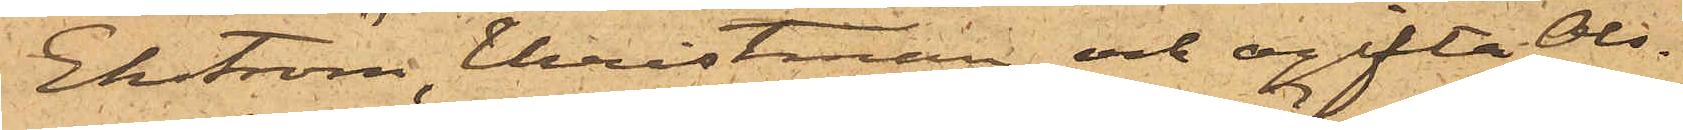Ekström, Christman och ogifta Ols¬
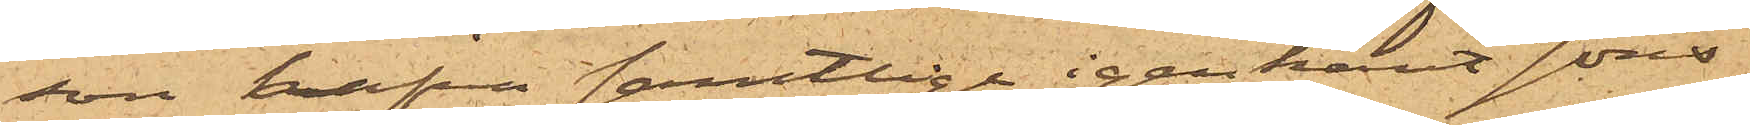son hafva samtlige igenkänt Jons¬
